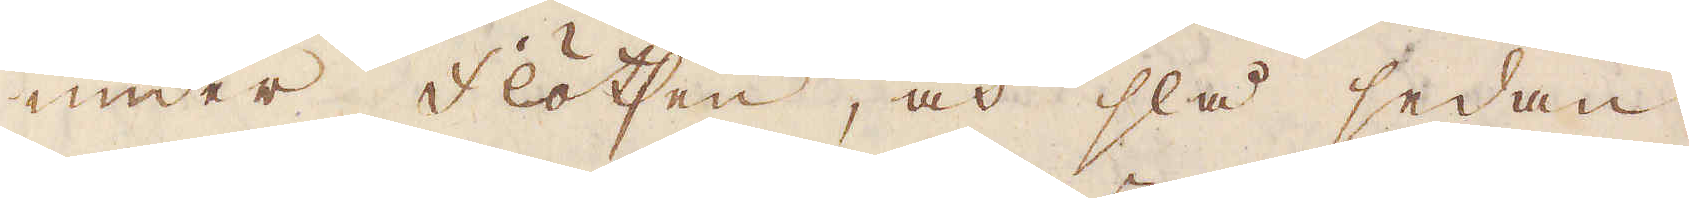under flötsen, och slå sedan
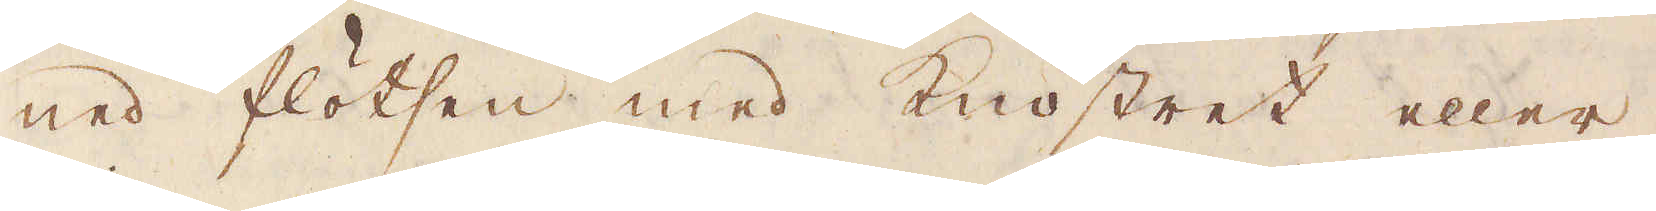ned flötsen med knostret eller
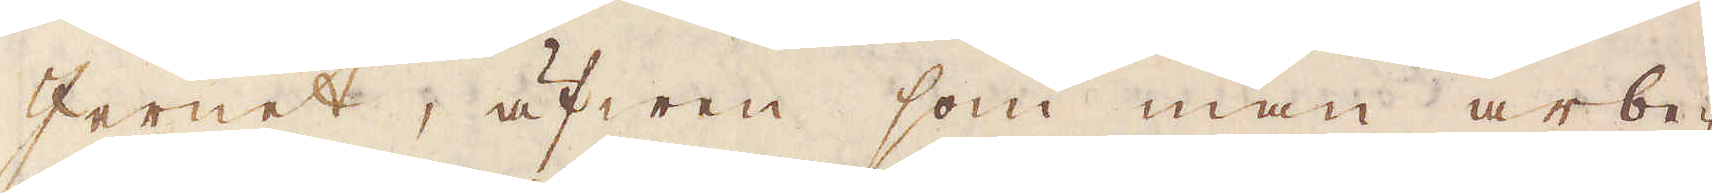Jernet, äfwen som man arbe-
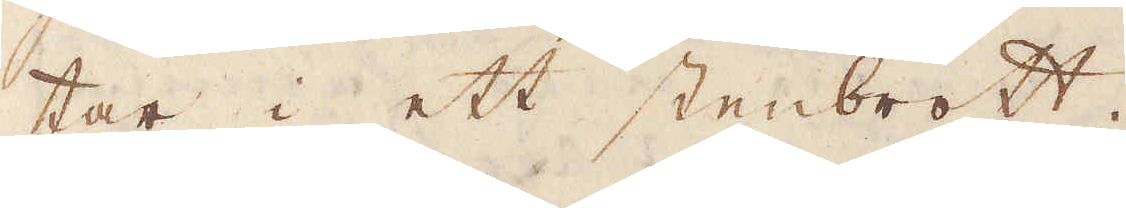tar i ett stenbrott.
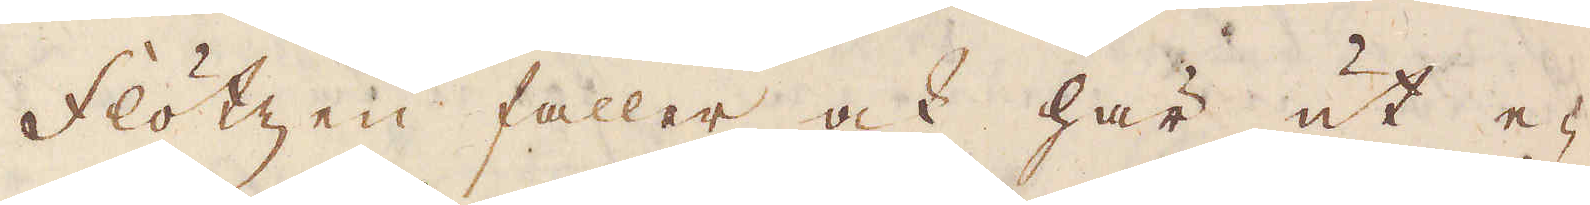Flötzen faller ock här ut e-
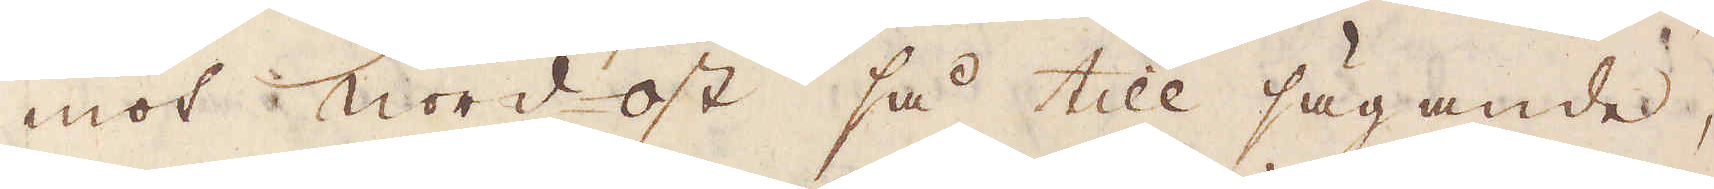mot niordost så till sägande,
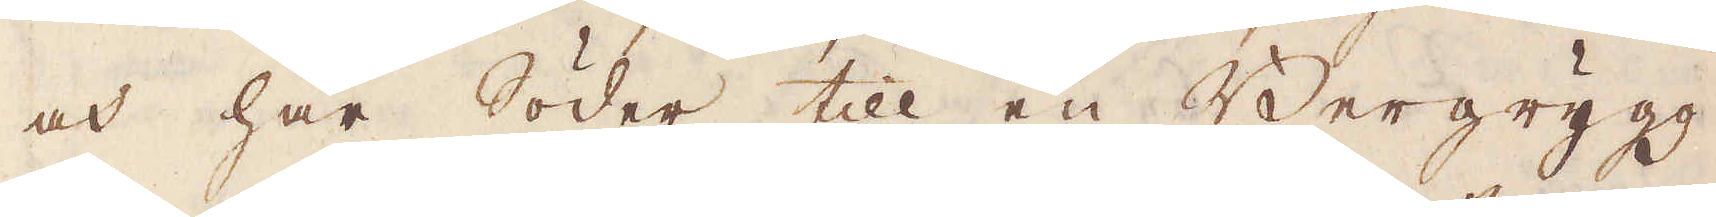och har Söder till en Bergrygg,
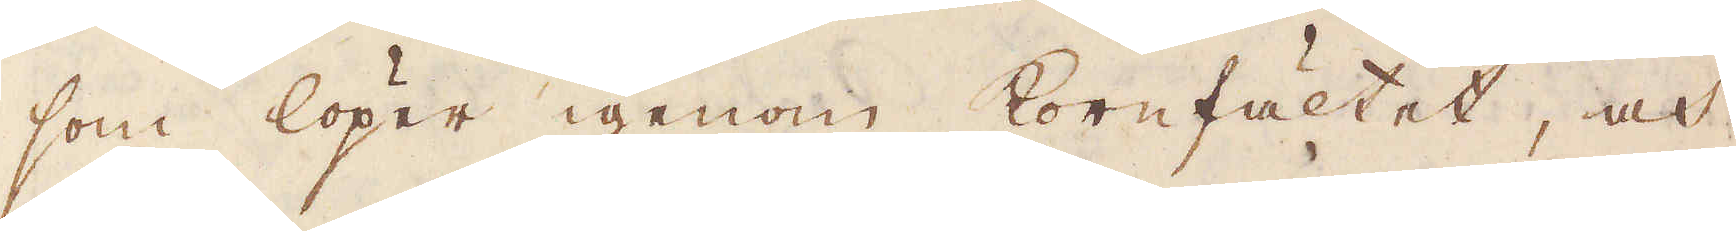som löper igenom kornfältet, och
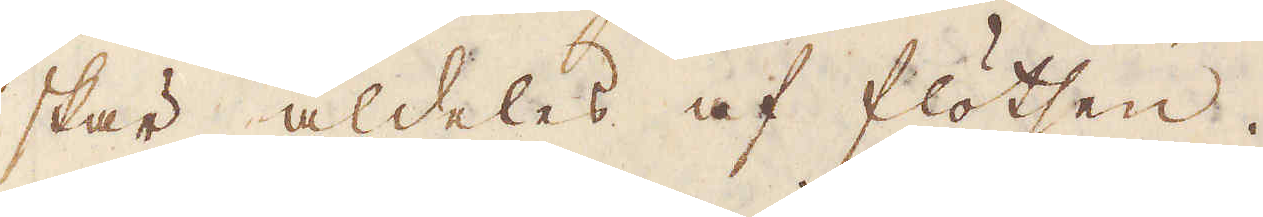skär aldeles af flötsen.
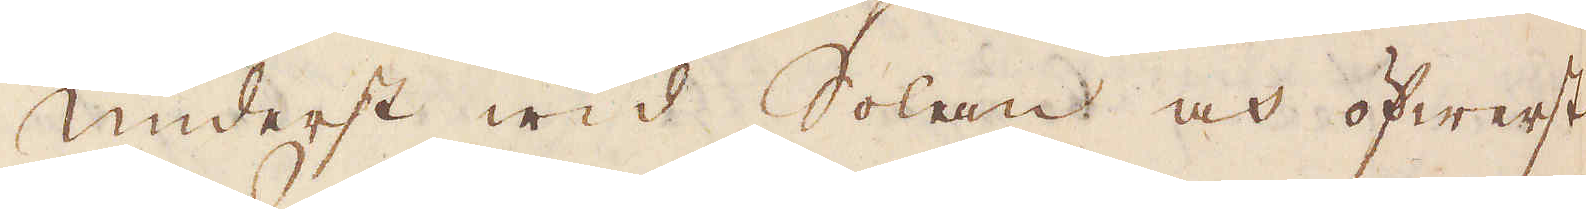Underst wid Solan och öfwerst
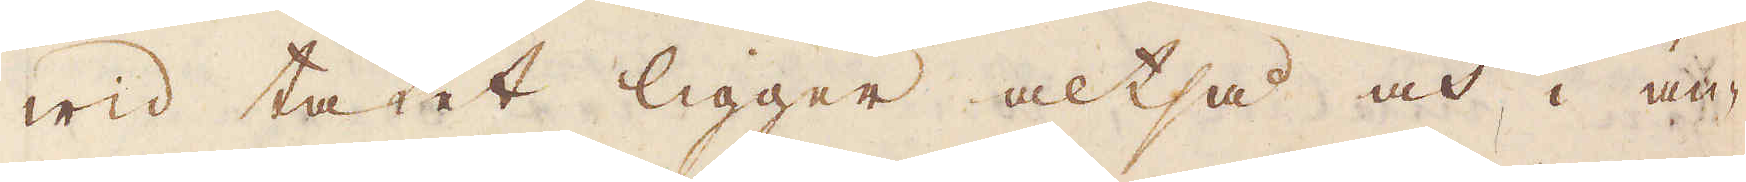wid taket ligger altså och i an-
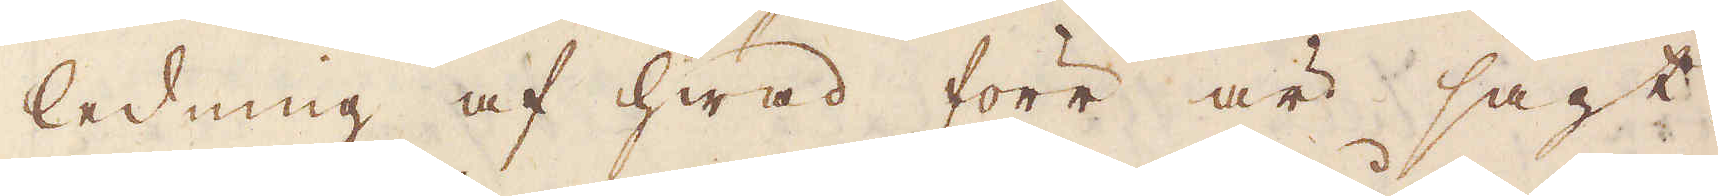ledning af hwad förr är sagt,
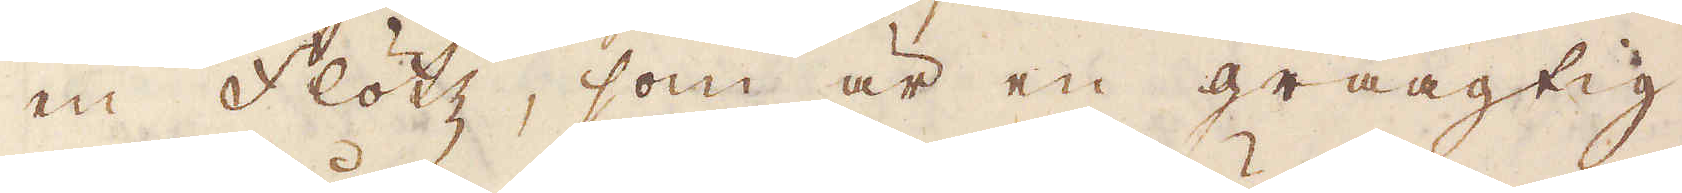en fkötz, som är en gråagtig
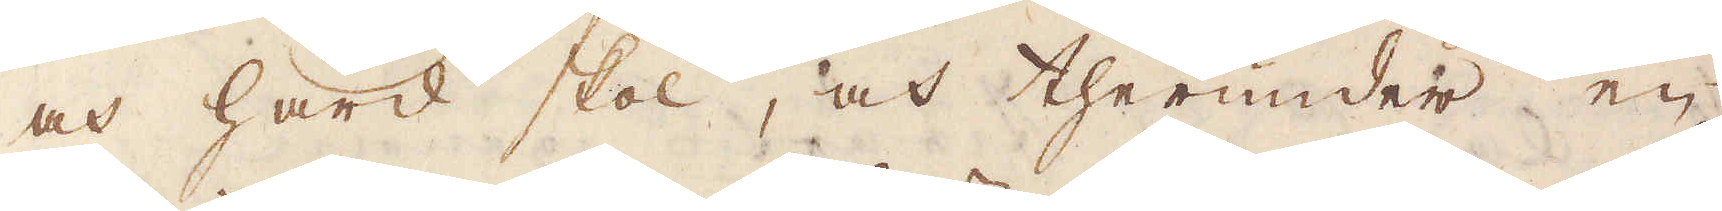och hård stol, och therunder en
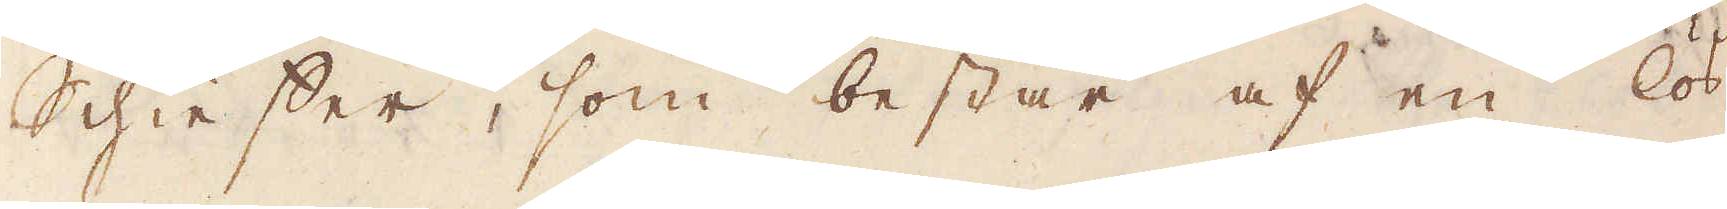Schieffer, som består af en lös-
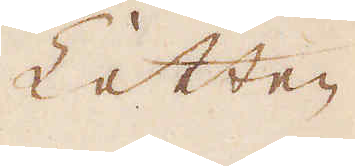Letten
